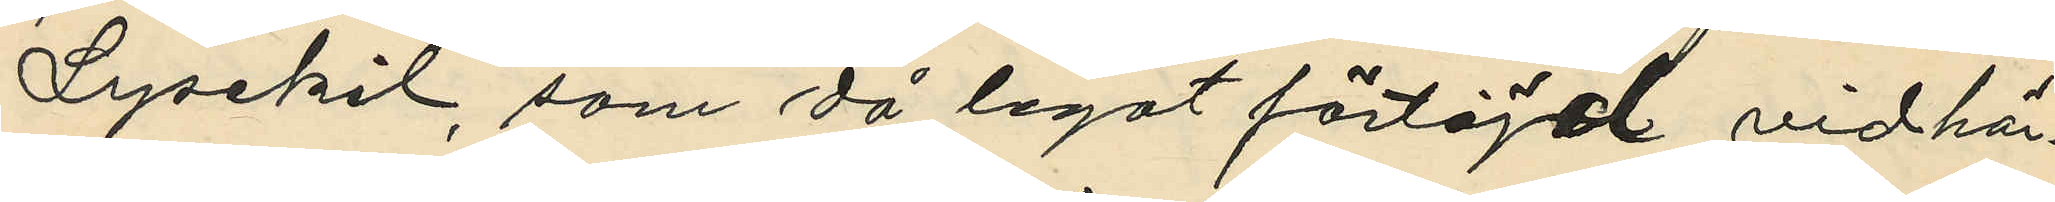Lysekil, som då legat förtöjd vid här¬
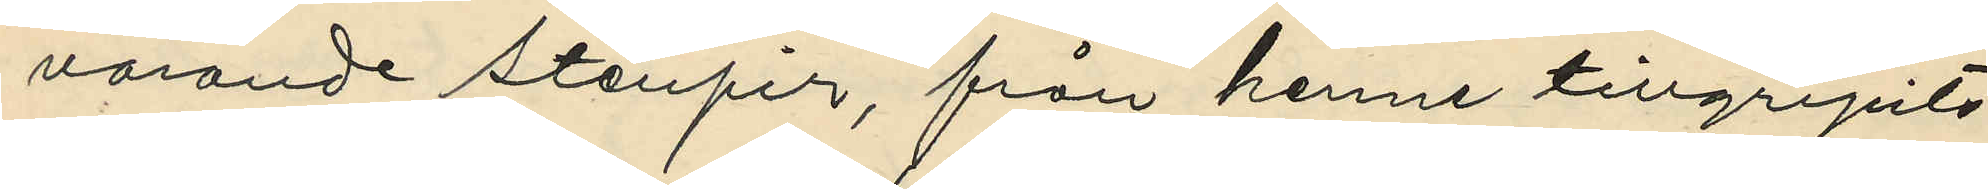varande stenpir, från henne tillgripits
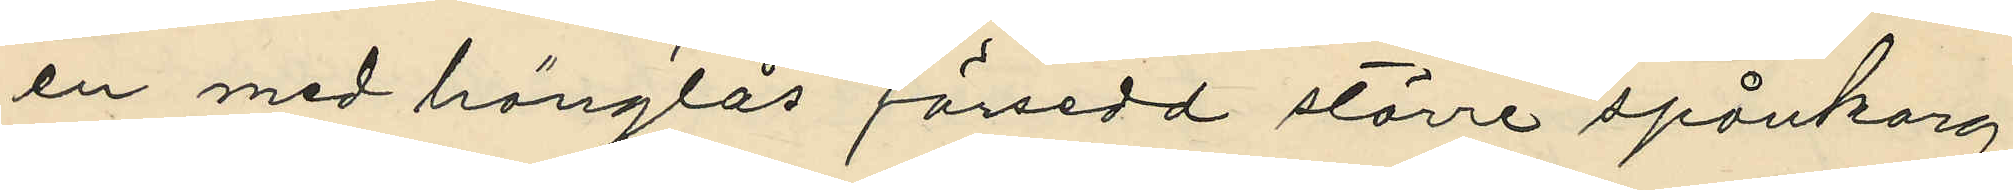en med hänglås försedd större spånkorg
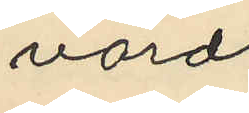värd
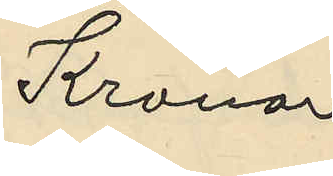Kronor
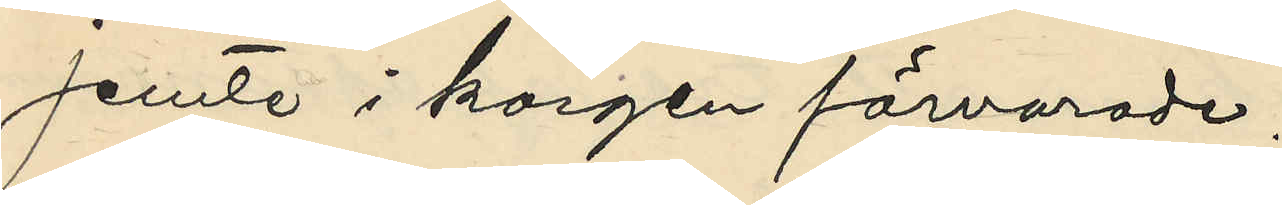jemte i korgen förvarade:
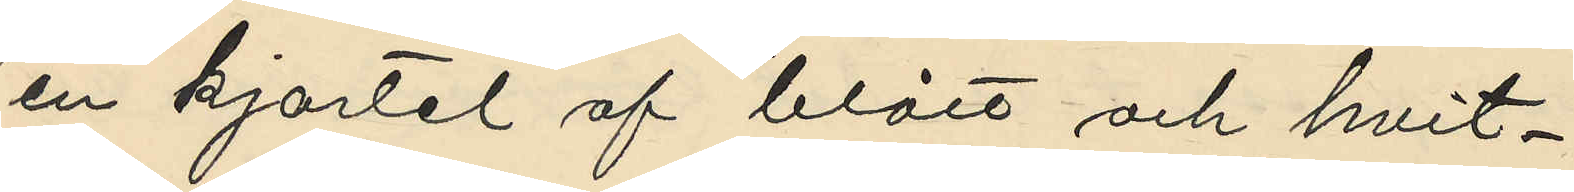en kjortel af blått och hvit¬
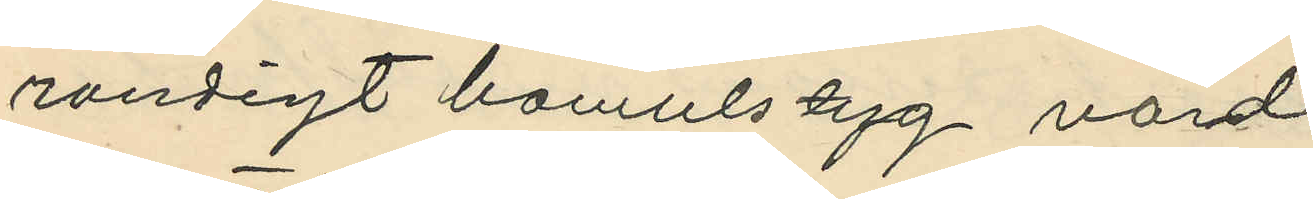randigt bomulstyg värd
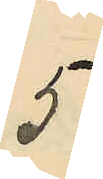5
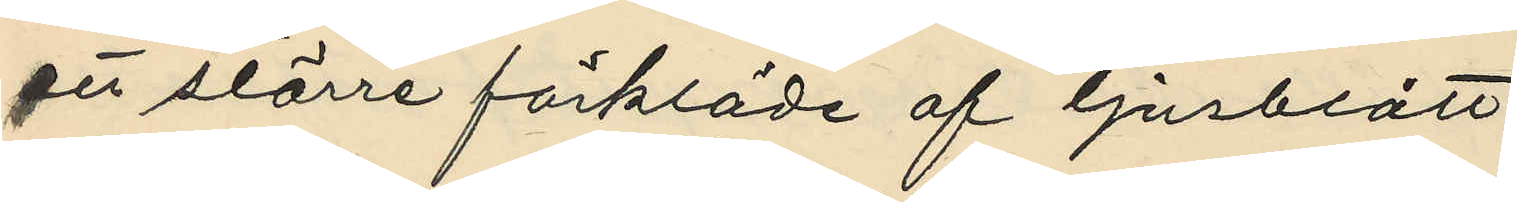ett större förkläde af ljusblått
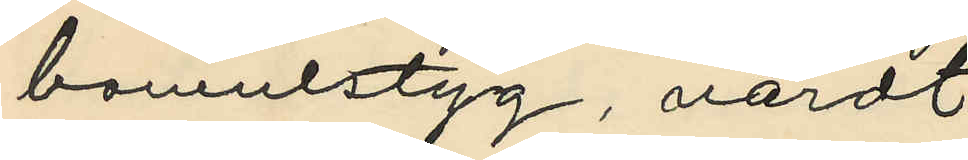bomulstyg, värdt
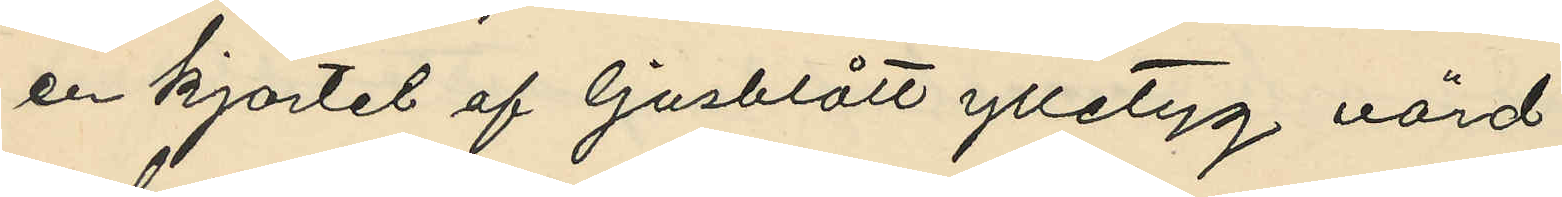en kjortel af ljusblått ylletyg värd
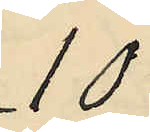10
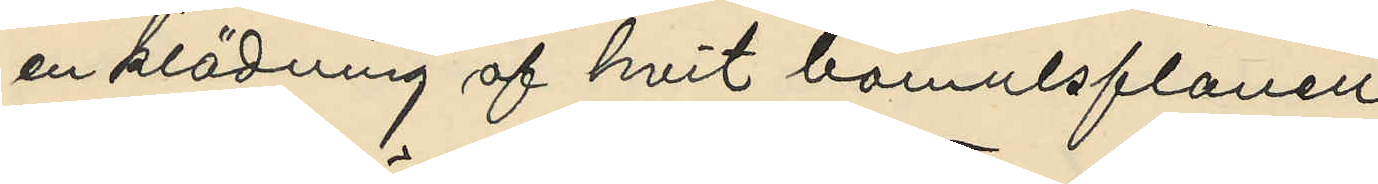en klädning af hvit bomulsflanell
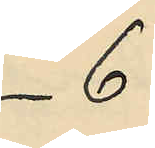6
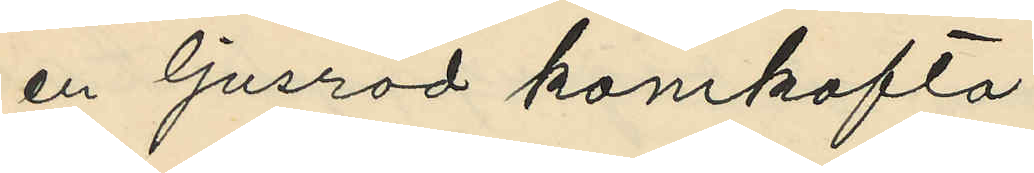en ljusröd kamkofta
